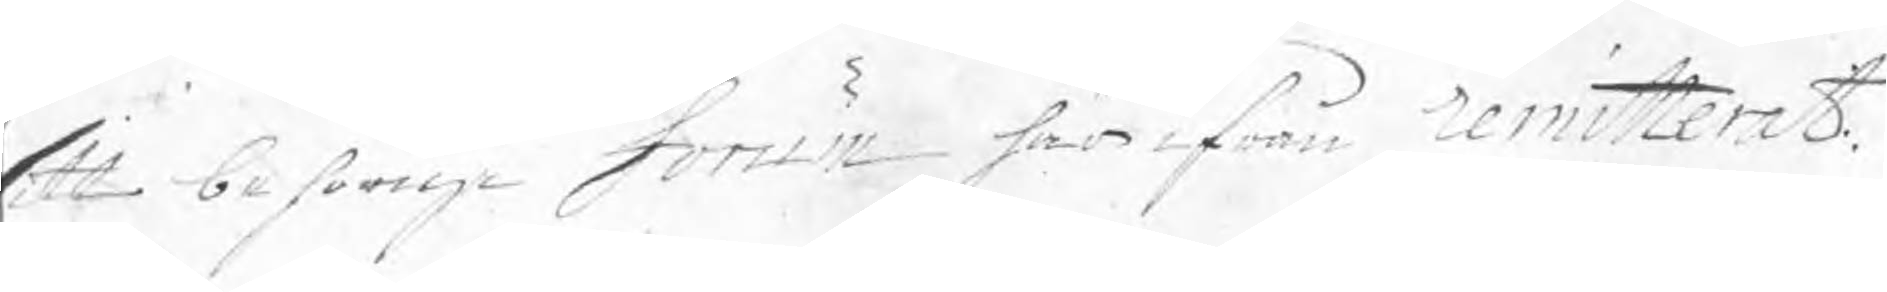sitt behörige forum här ifrån remitterat.
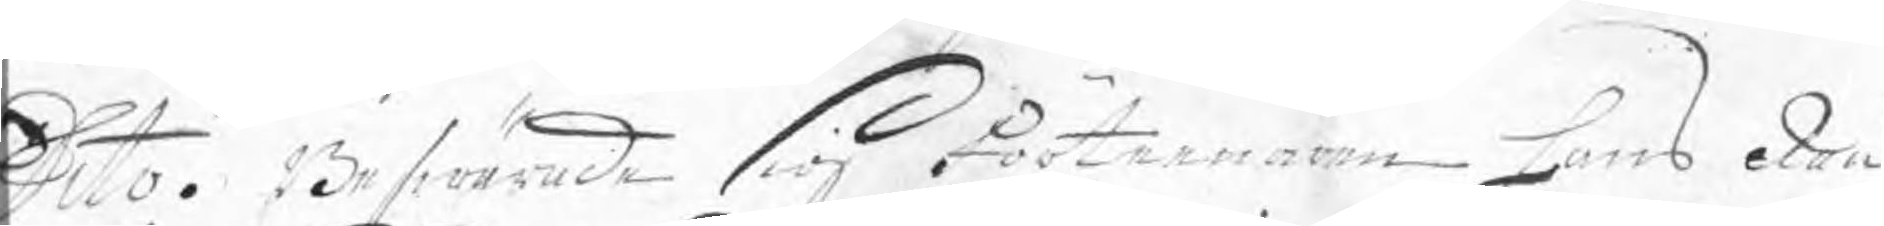Dito. Beswärade sig Förteenaren Hans Rau
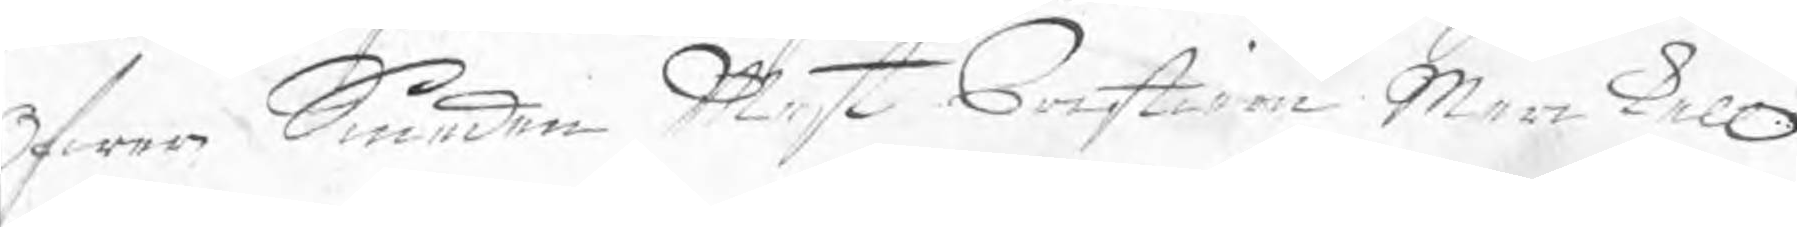Öfwer Smeden Mest Cristian Merkell
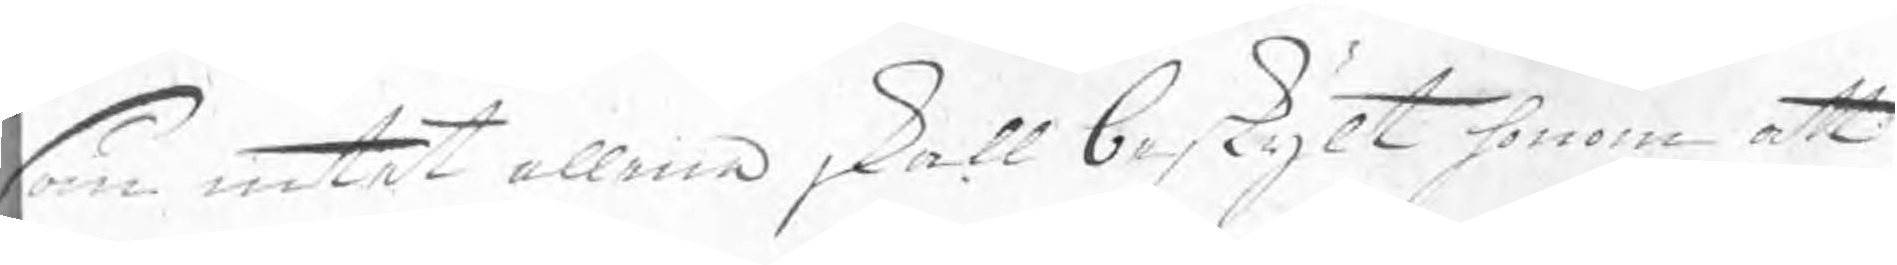som intet allena skall beskylt honom att
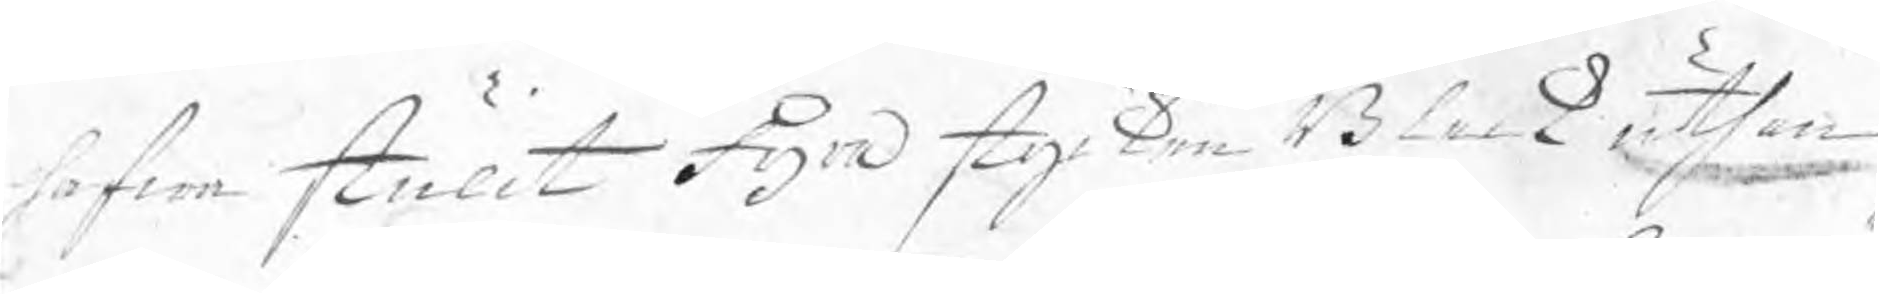hafwa stulit Fyra stycken Bleck uthan
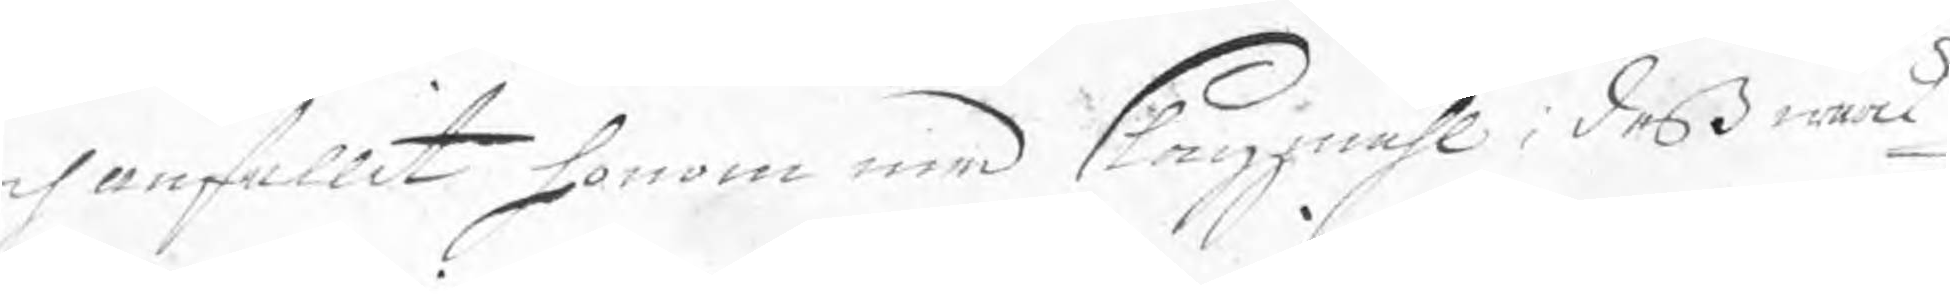ch anfallit honom med slagzmåhl i deß wärk¬
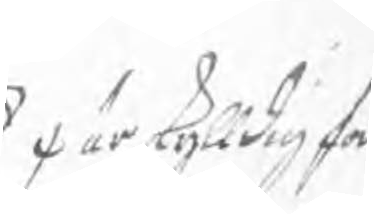/ är skylldig for
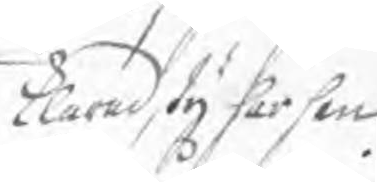klarad, ty har han
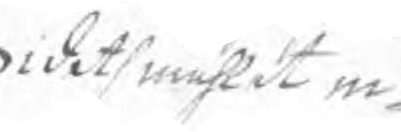i det måhlet in¬
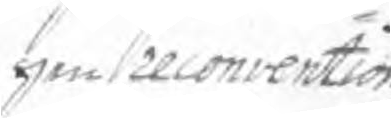gen reconvention
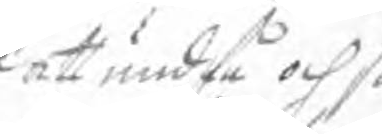att undfå och så
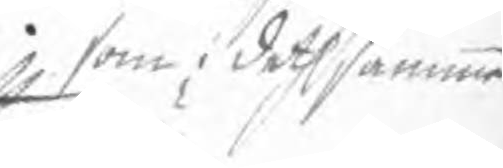som i deth samma
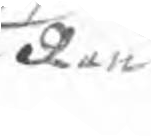Rau
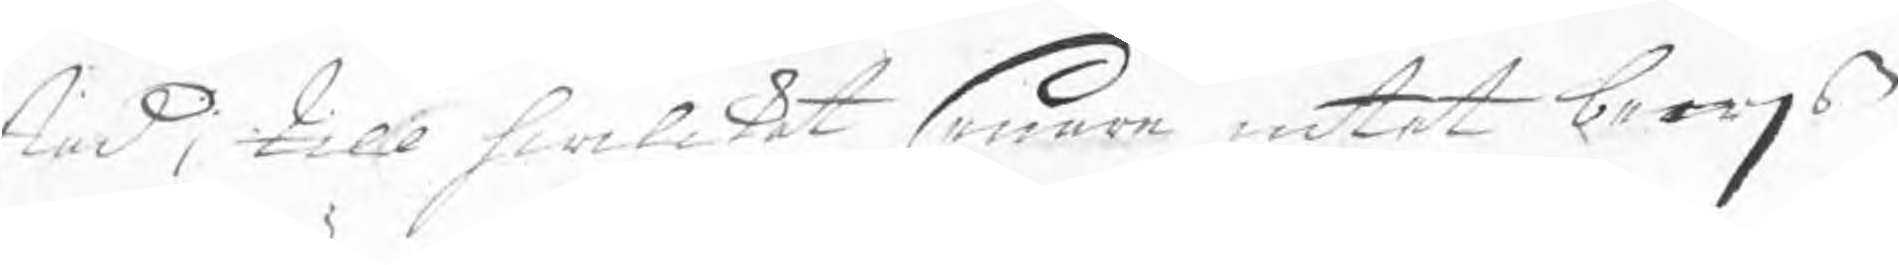stad, till hwilket senare intet bewjs
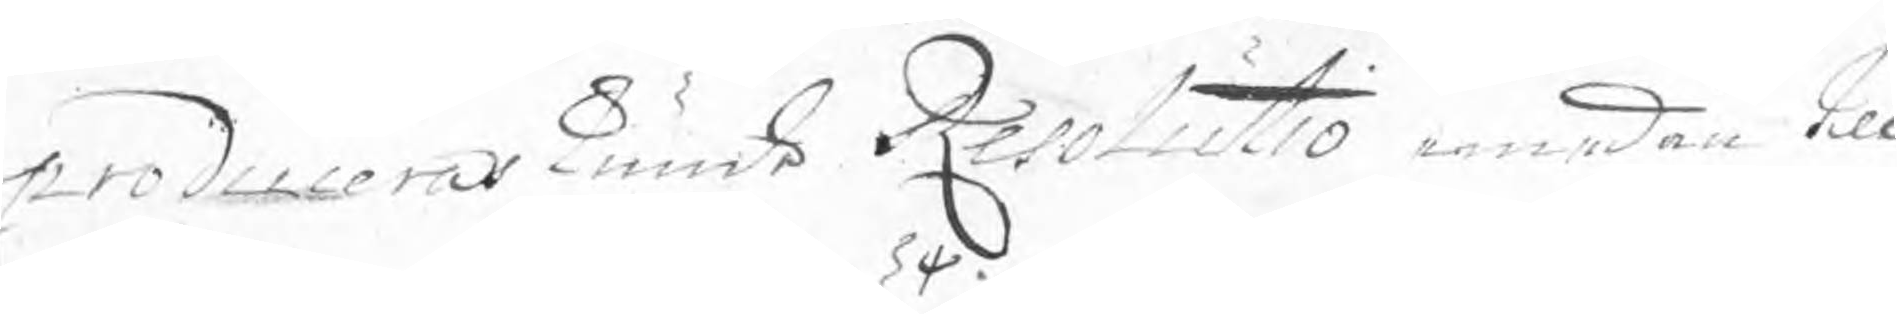produceras kunde. Resolutio emedan till
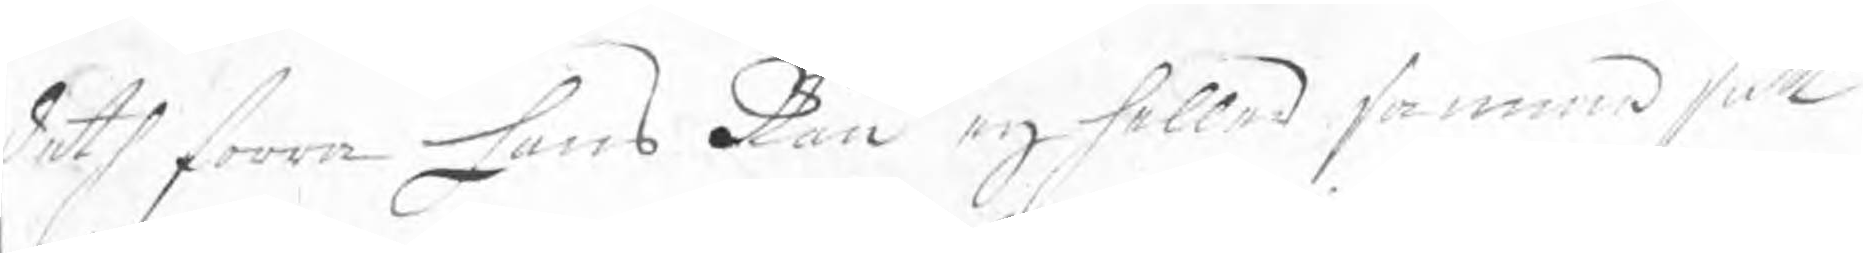deth forra Hans Rau eij heller samma fall
